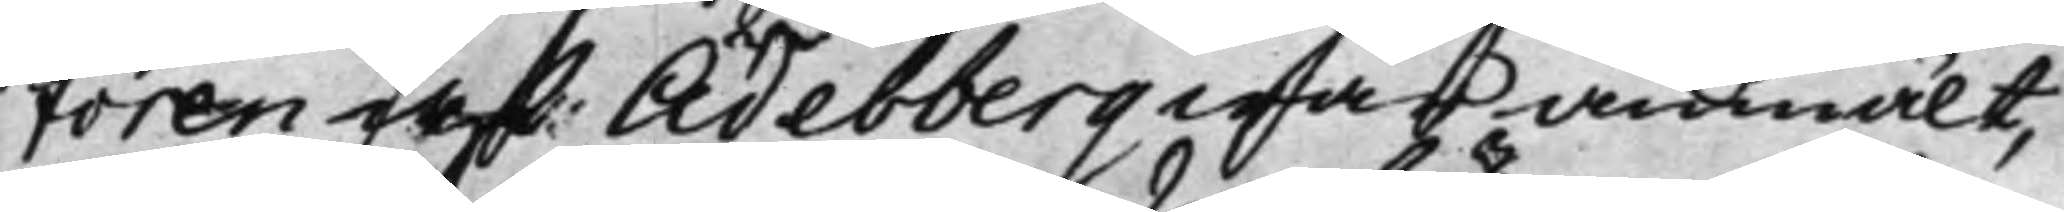toren af Ädelberg war anmält,
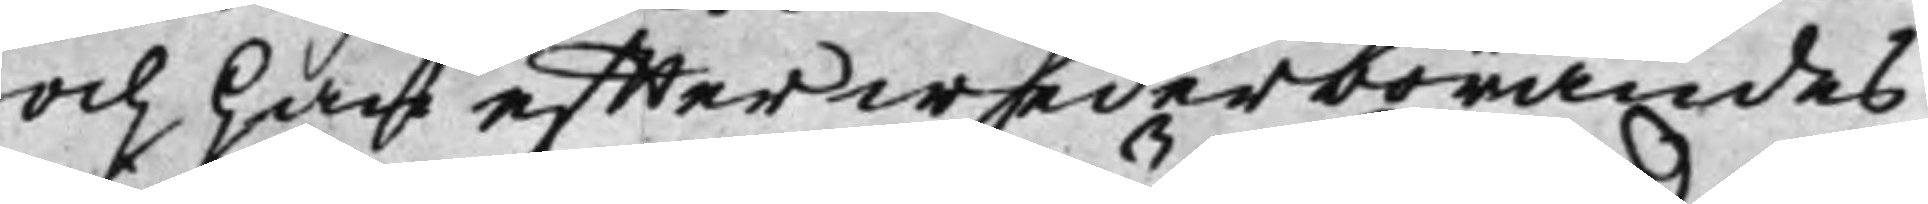och han effter wederbörandes
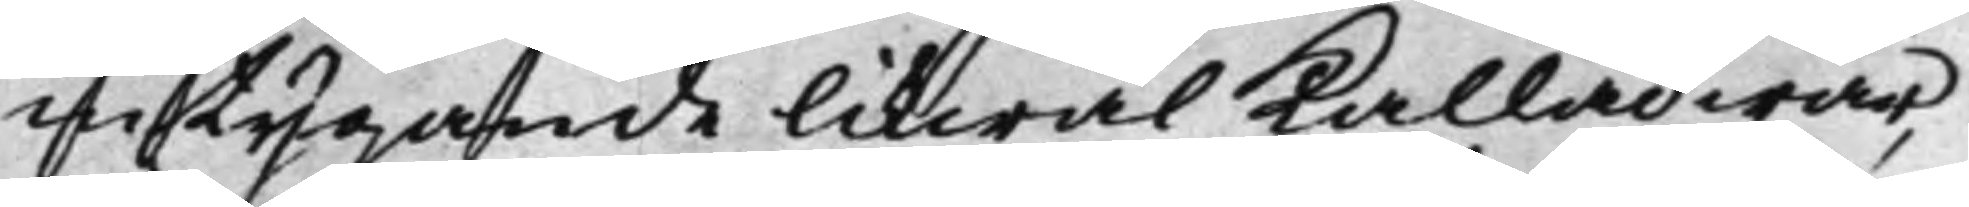intygande likwäl Kallad war,
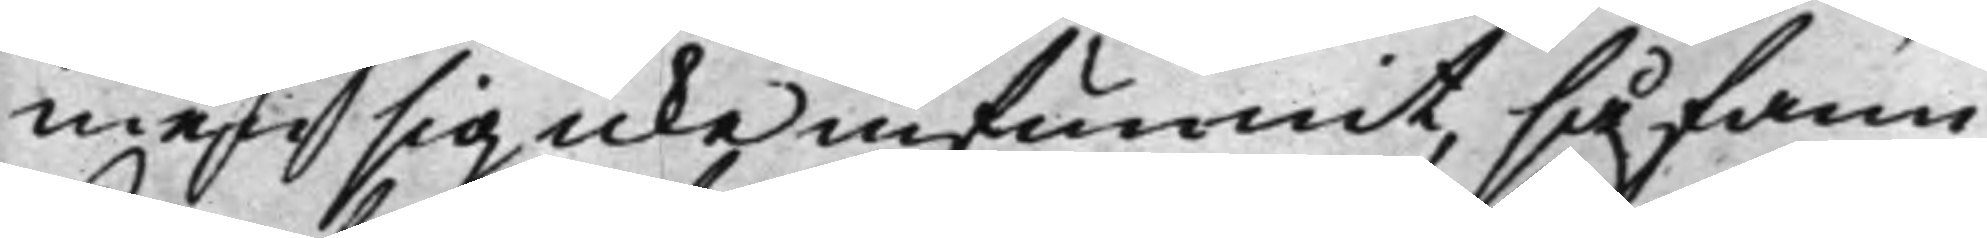men sig icke infunnit, så fann
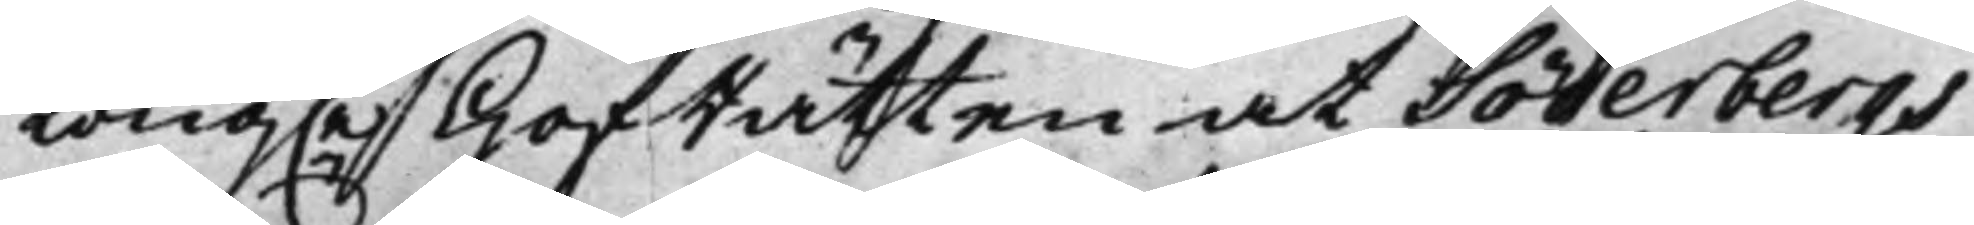Kong.e HofRätten at Söderbergs
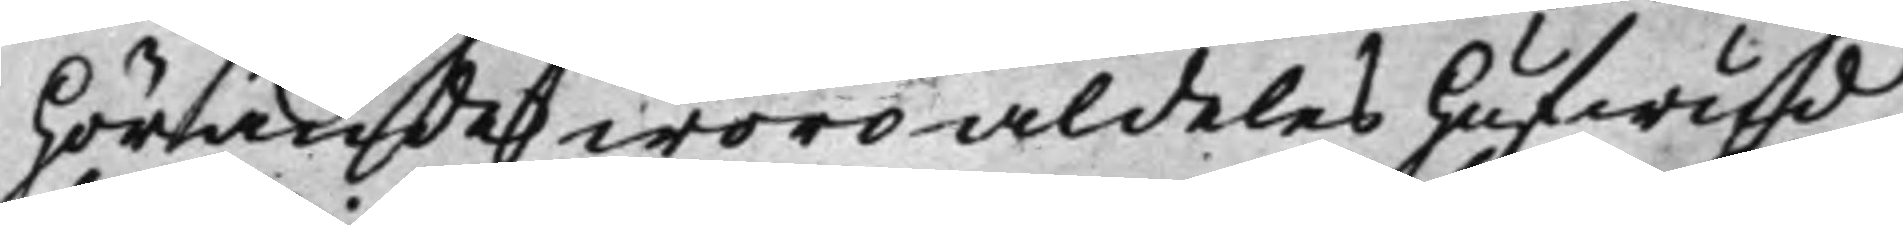hörande woro aldeles hufwud¬
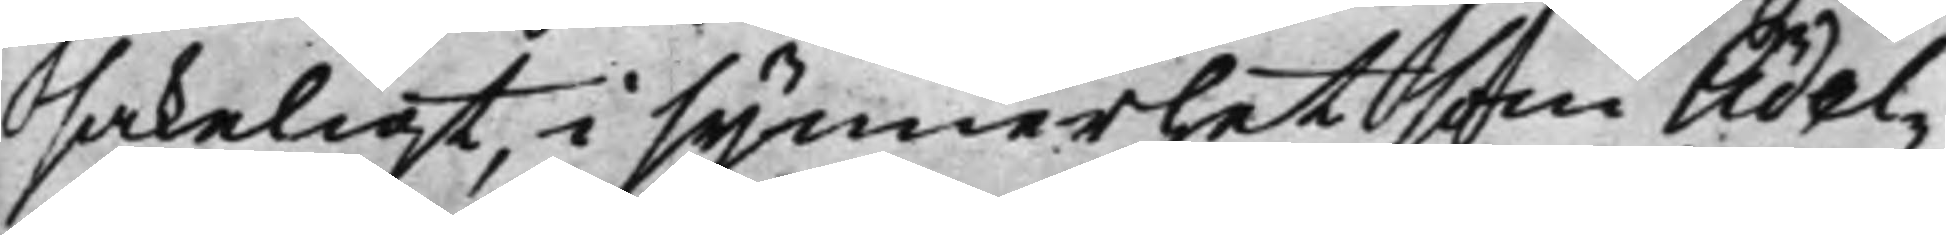sakeligt, i synnerhet som Ädel¬
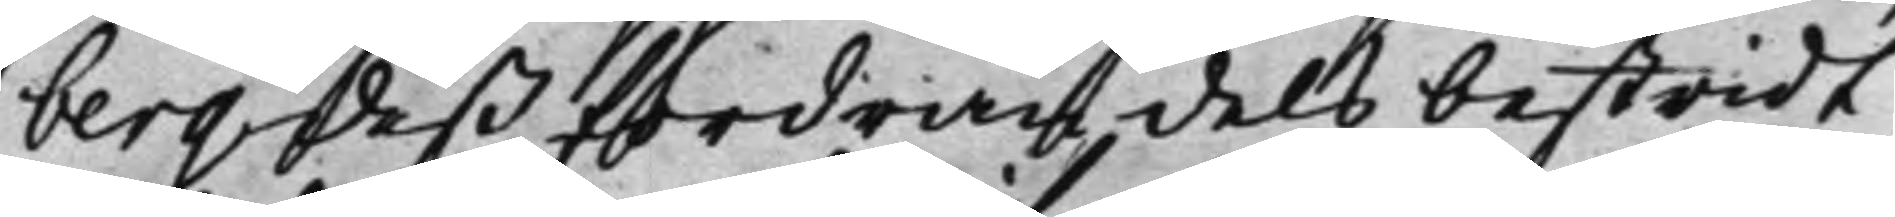berg dess fordran dels bestridt
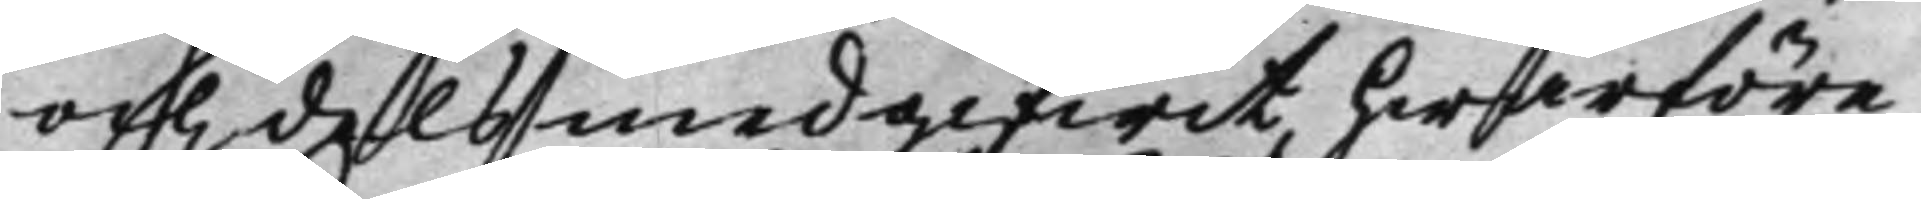och dels medgifwit, hwarföre
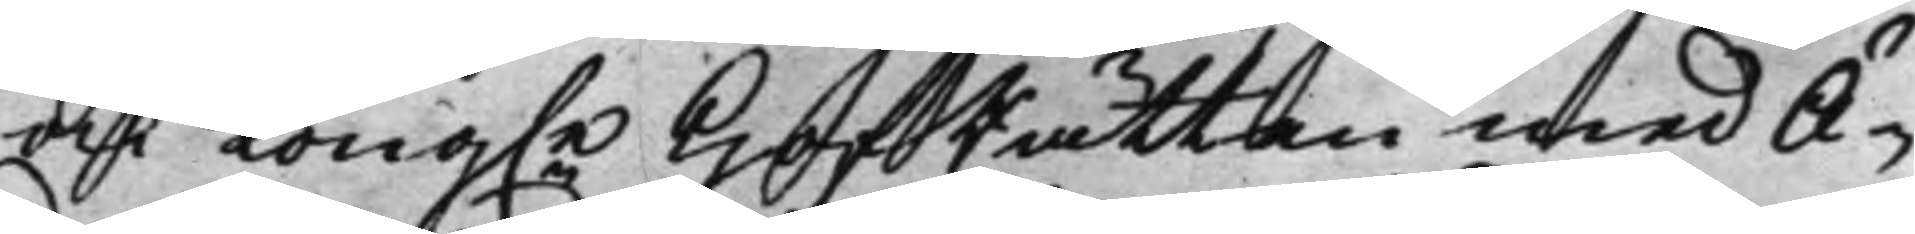ock Kong.e HofRätten med Ä¬
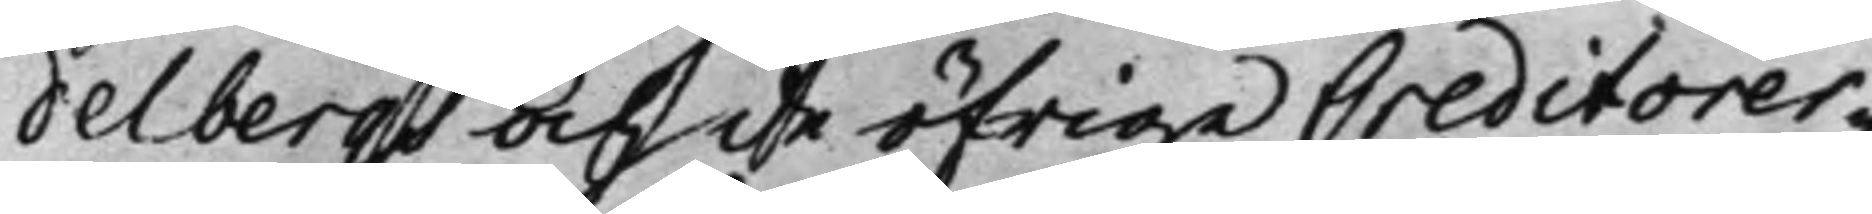delbergs och de öfrige Creditorer¬
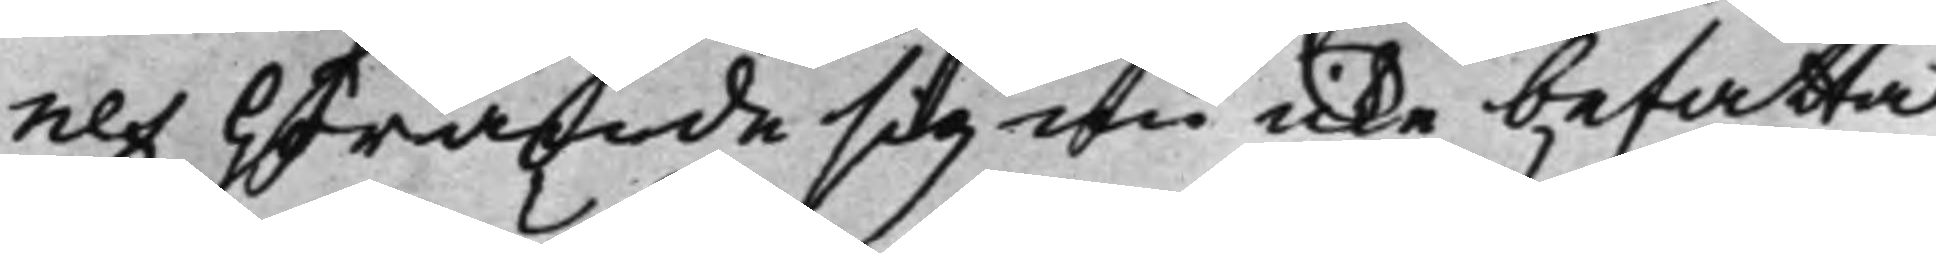nes hörande sig nu icke befatta
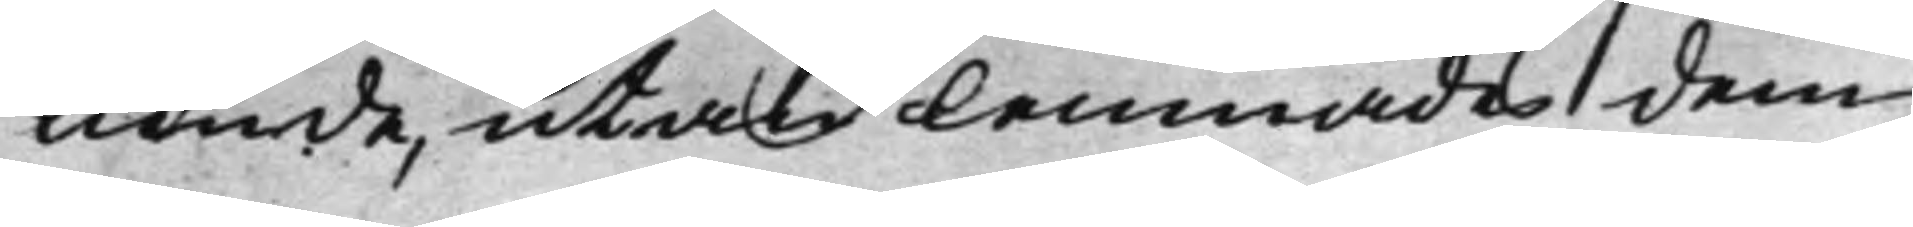Kunde, utan lemnades dem
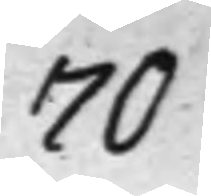70
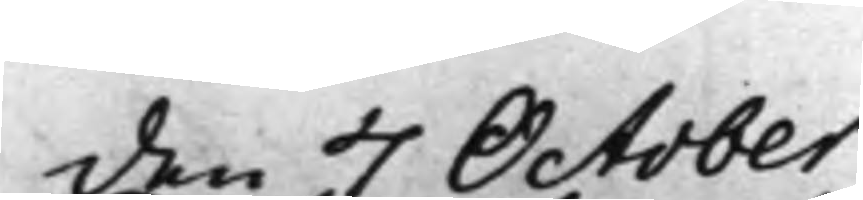den 7 October
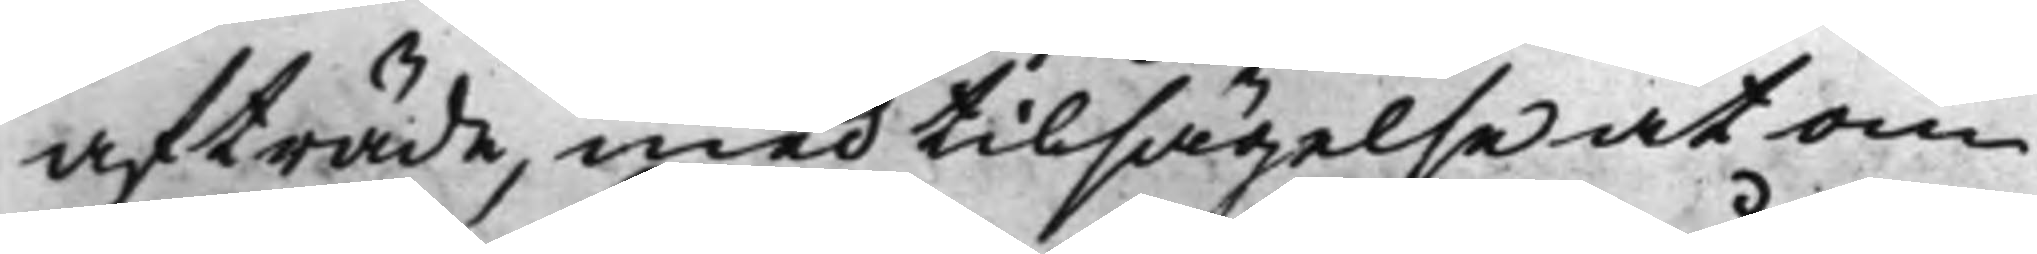afträde, med tilsägelse at om
